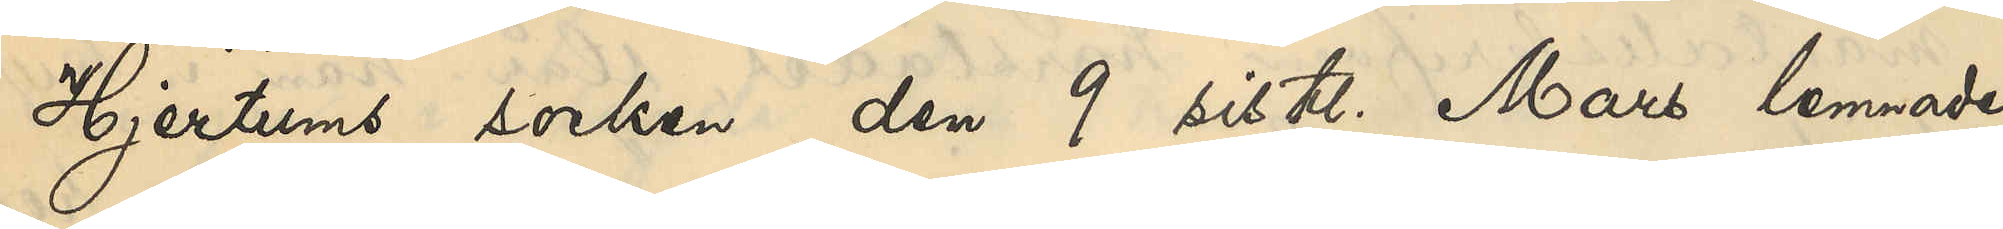Hjertums socken den 9 sistl Mars lemnade
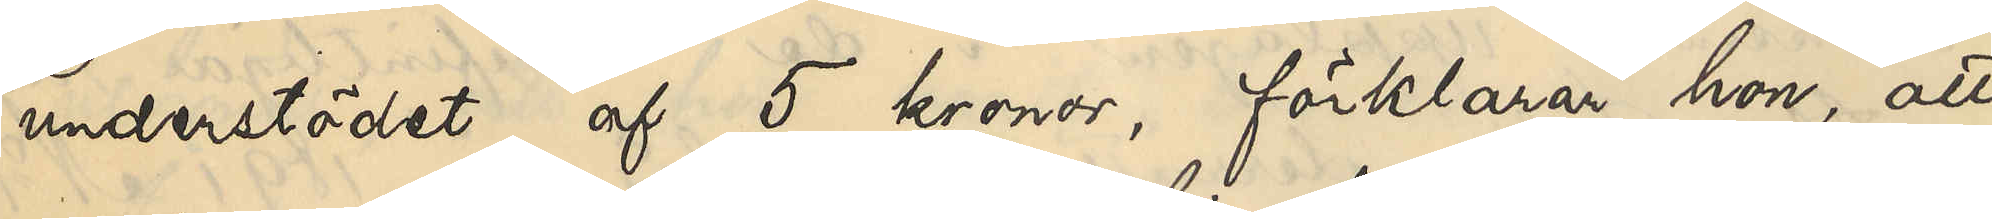understödet af 5 kronor, förklarar hon, att
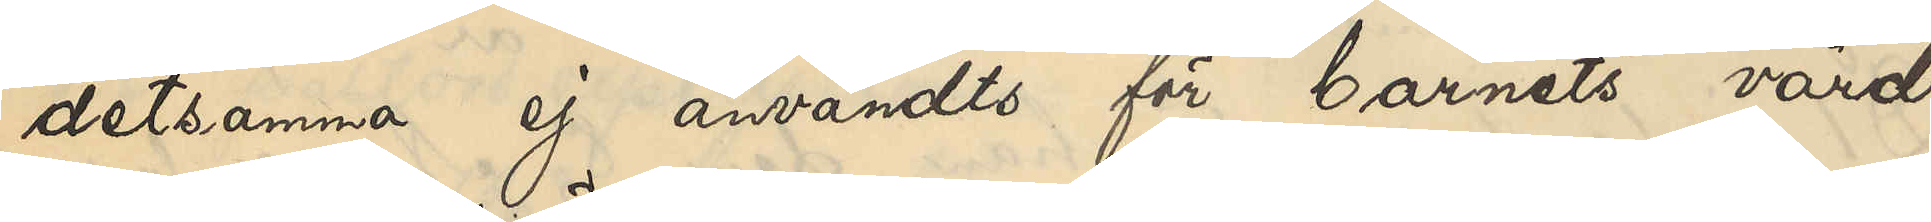detsamma ej användts för barnets vård
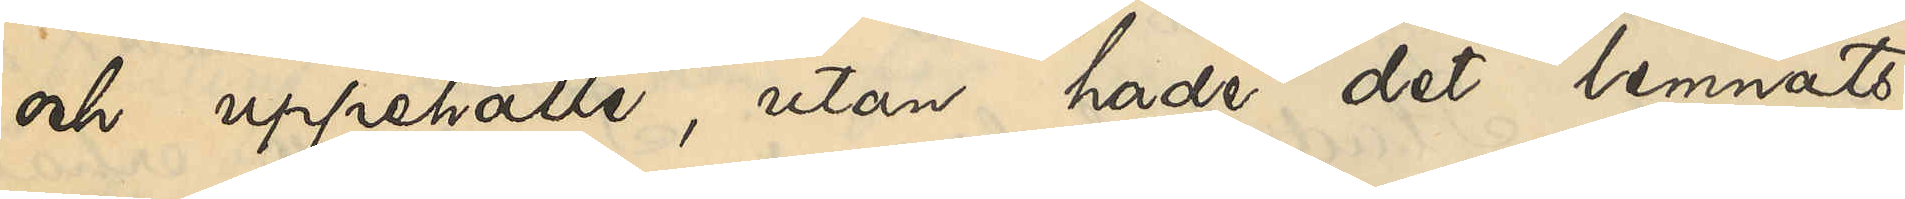och uppehälle, utan hade det lemnats
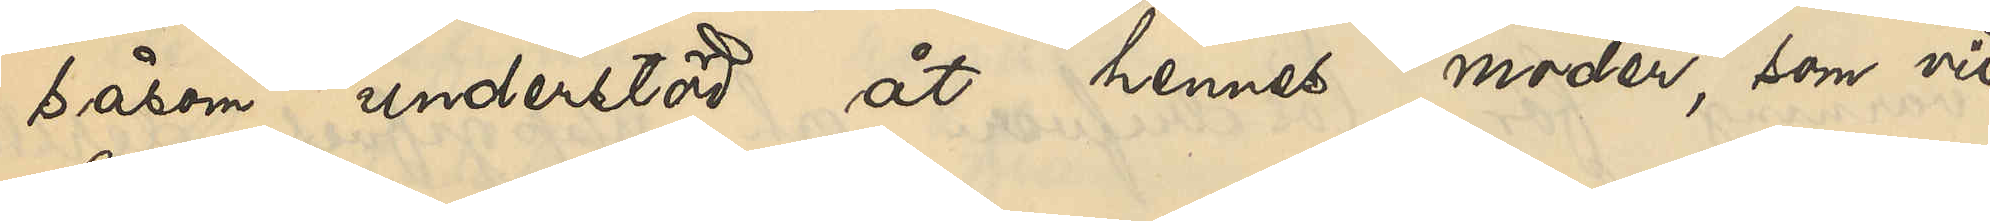såsom understöd åt hennes moder, som vid
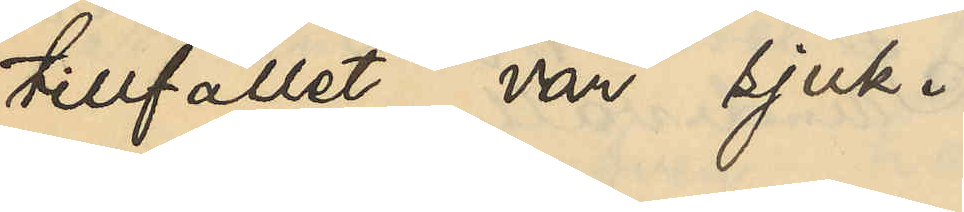tillfället var sjuk.
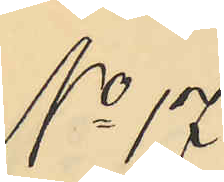No 17.
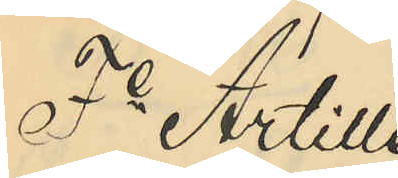Fe Artille¬
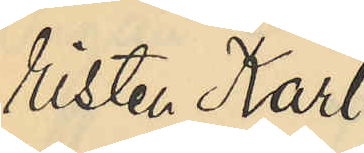risten Karl
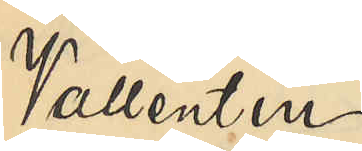Vallentin
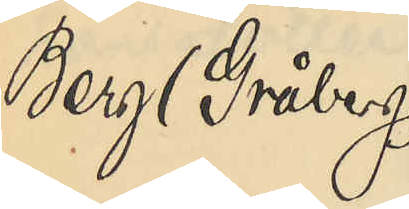Berg (Gråberg)
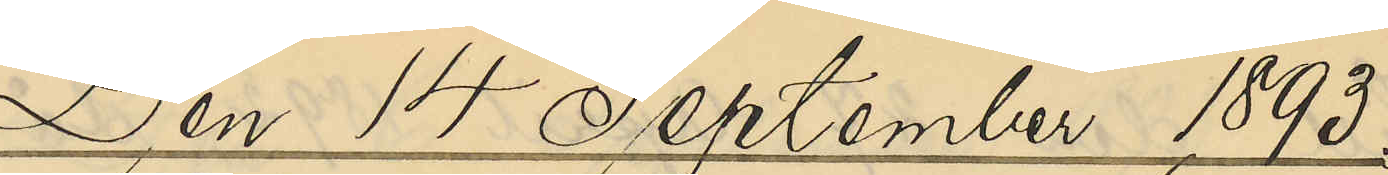Den 14 September 1893.
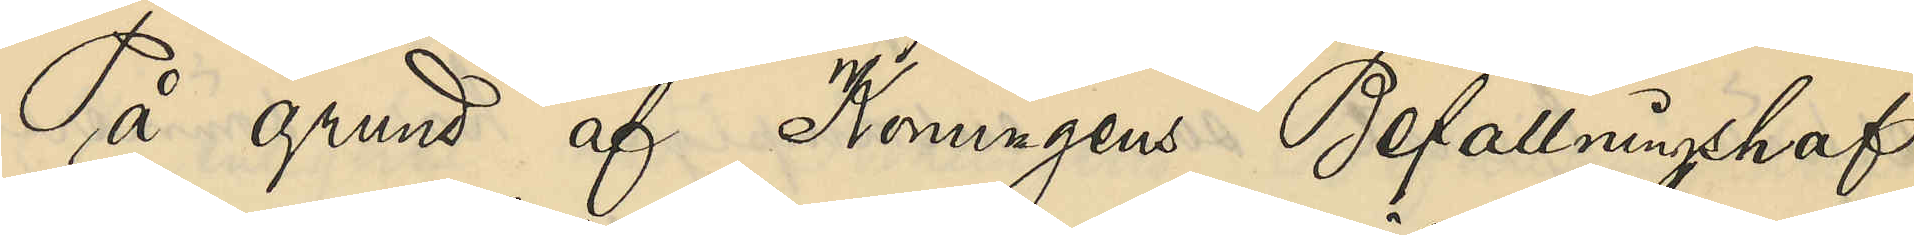På grund af Konungens Befallningshaf¬
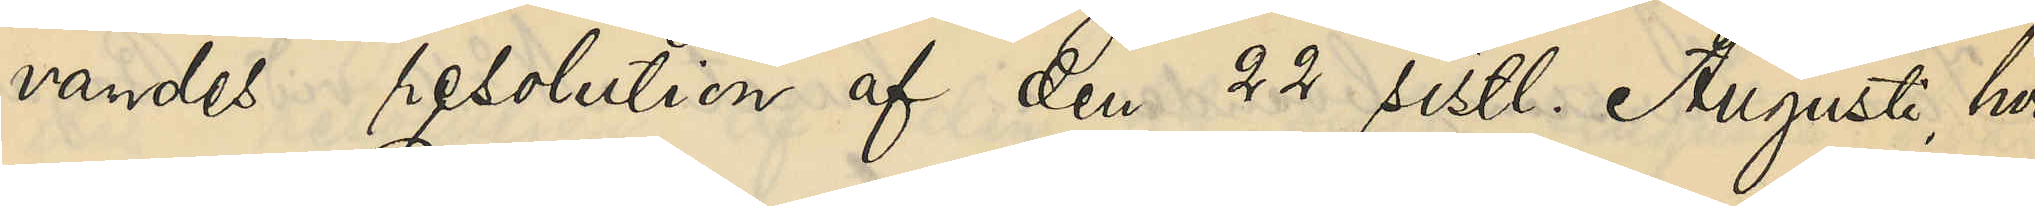vandes resolution af den 22 sistl Augusti, hvari¬
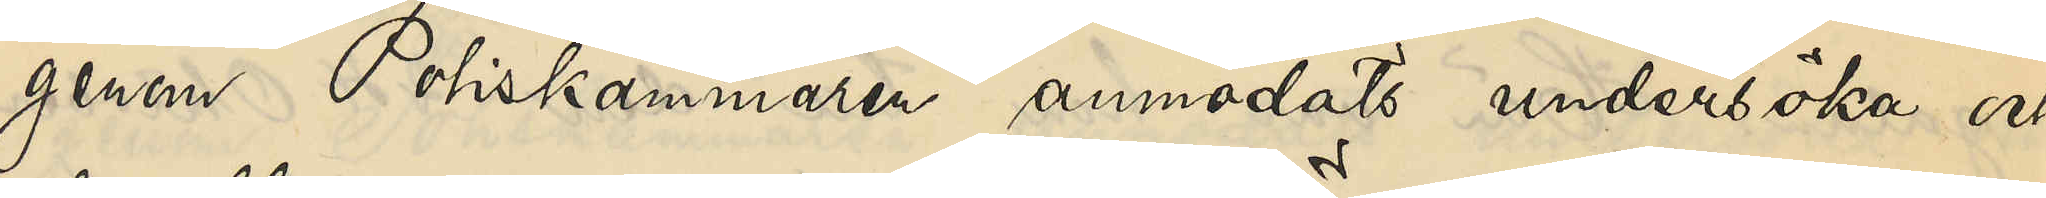genom Poliskammaren anmodats undersöka och
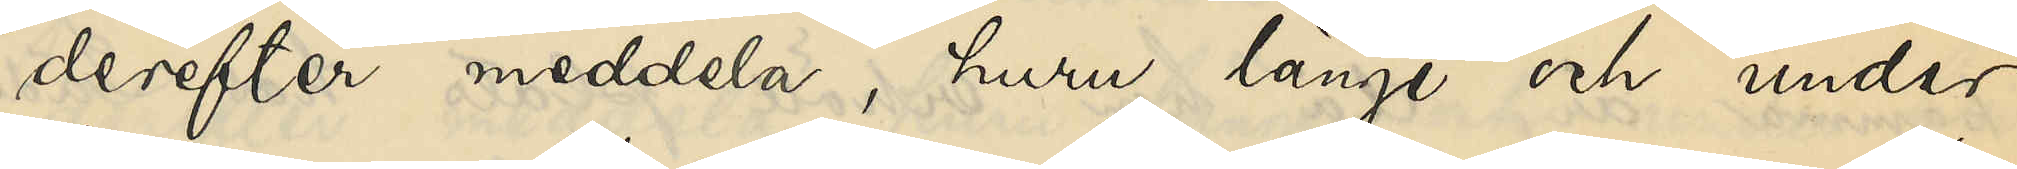derefter meddela, huru länge och under
